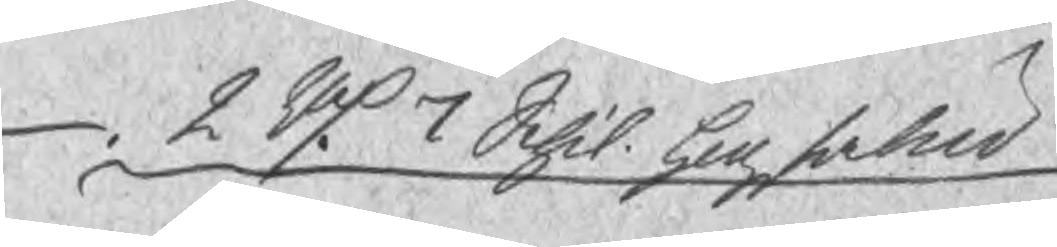2 Rd 7 Schil. hogstabud
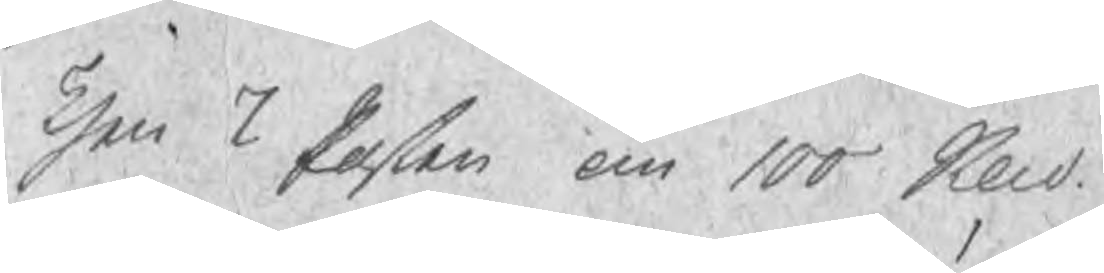Then 7 Posten om 100 Sknd
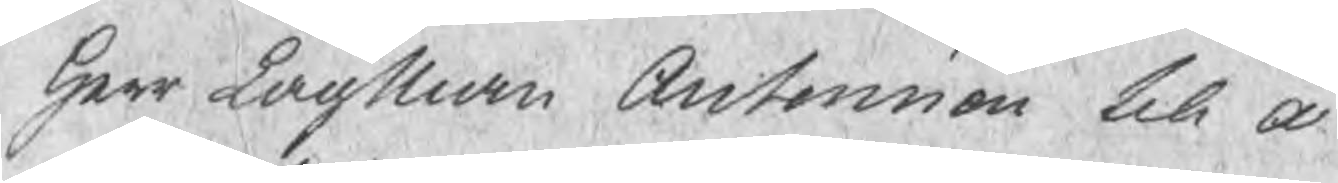Herr LagMan Antonnion till a¬
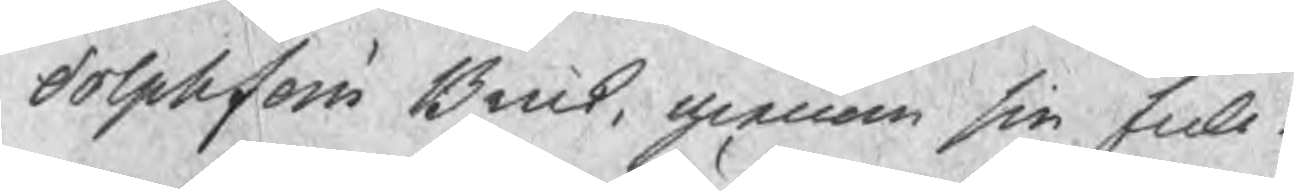dolphsfors Bruk, genom sin full¬
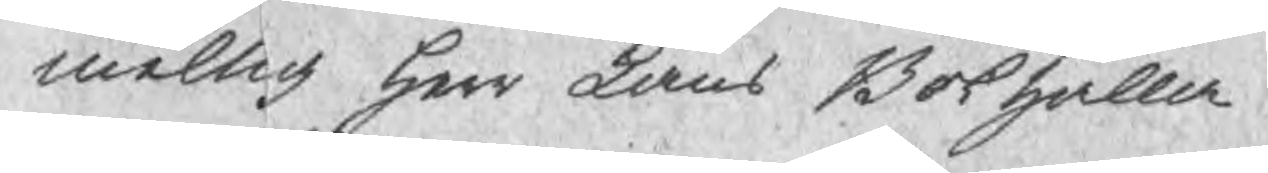meltig Herr Läns Bokhålla¬
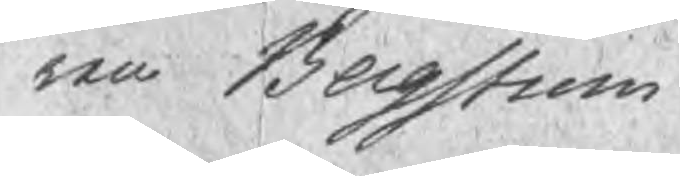ren Bergstrom
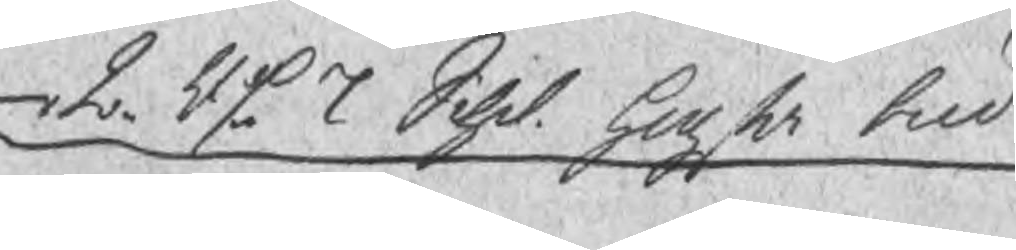2 Rd 7 Schil. hogsta bud
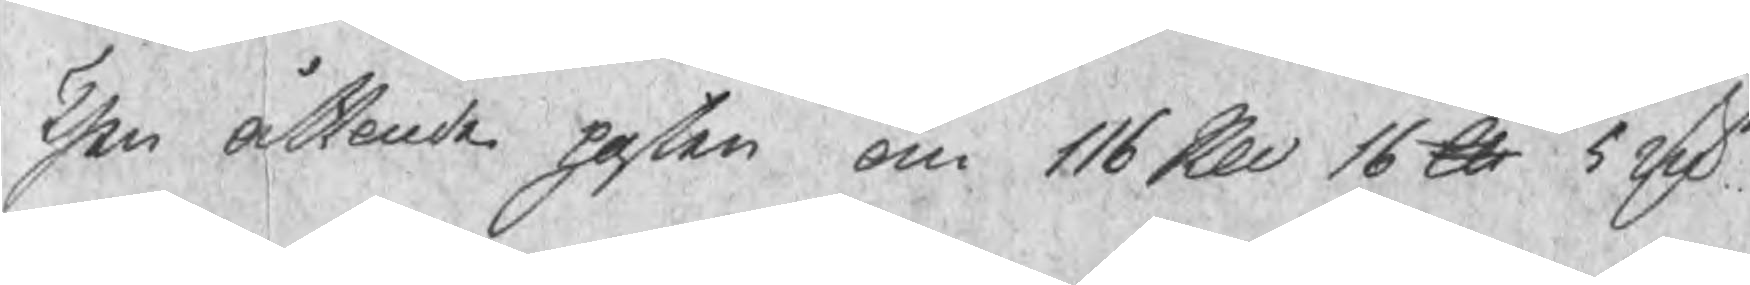Then åttonde posten om 116 Skd 16 lb 5 rsfr
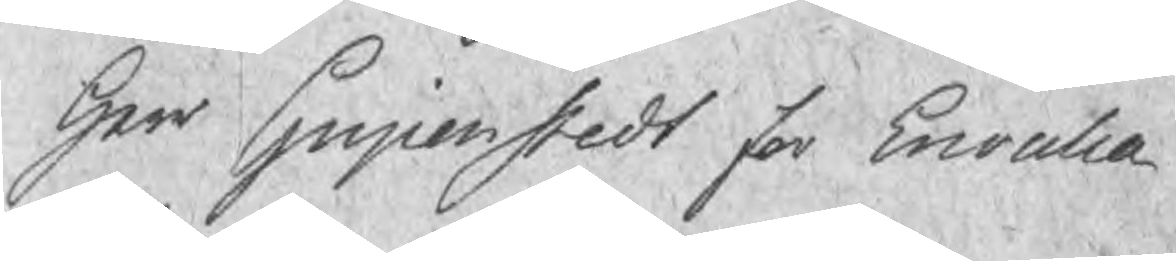Herr Gripenstedt for Ervalla
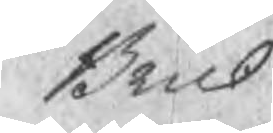Bruk
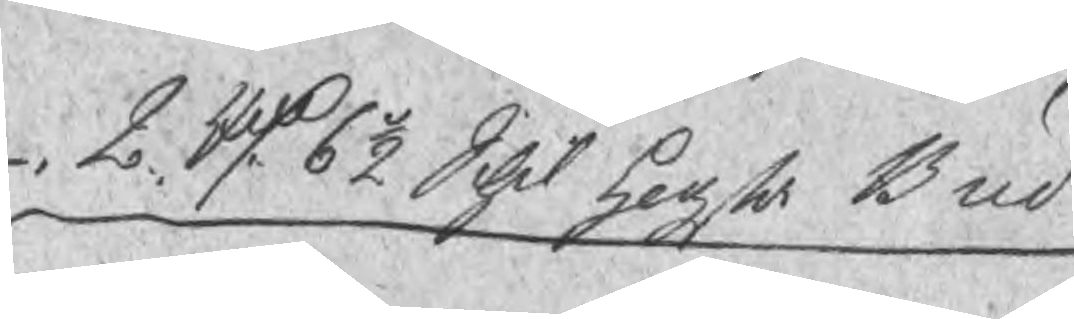2 Rd 6½ Schil Högsta Bud
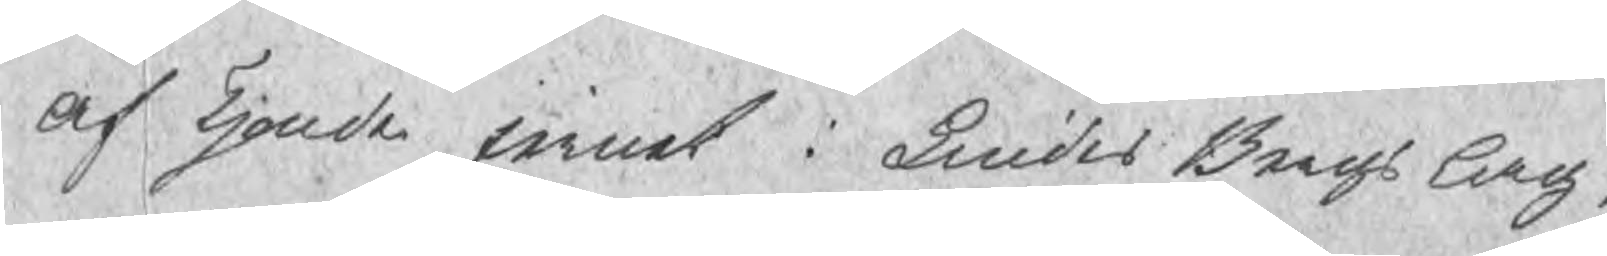Af Tjonde jernet i Lindes Bergs lag
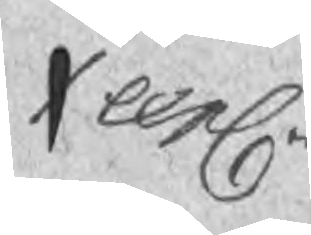1 expl
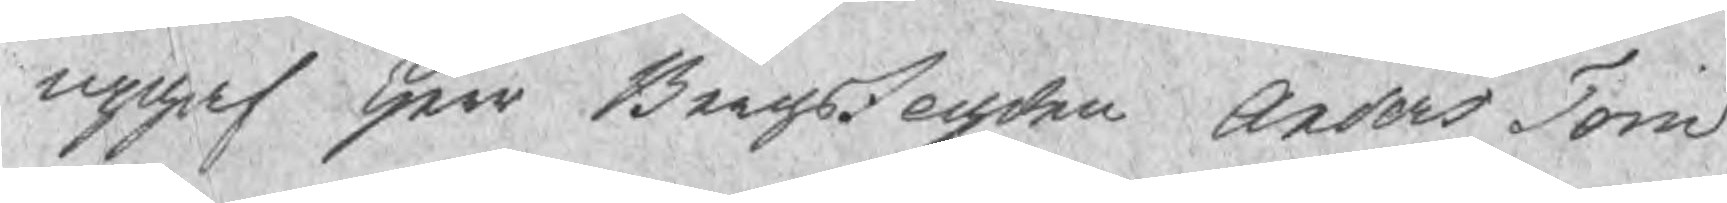upgaf Herr Bergsfogden Anders Torn¬
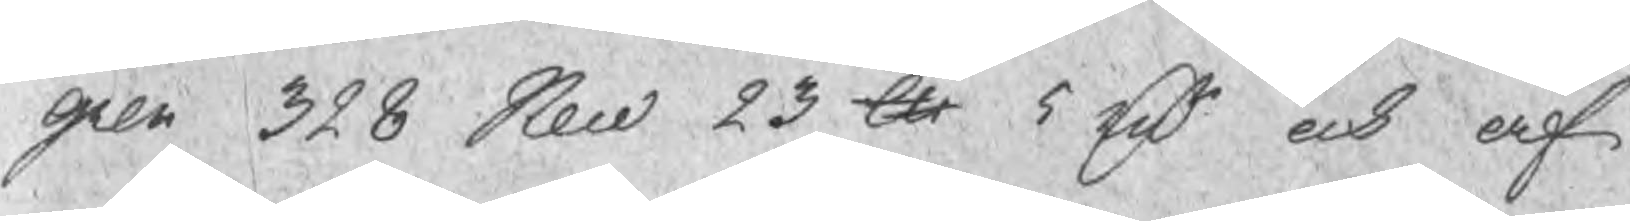gren 328 Skd 23 lu 5 rsr och af 
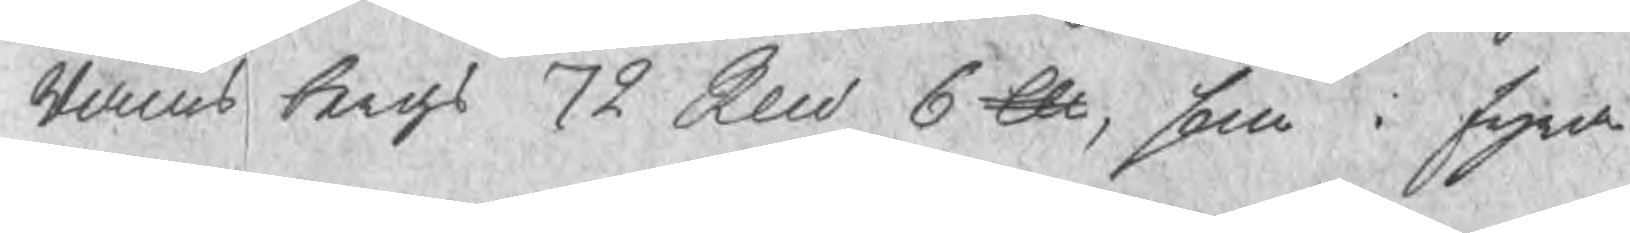Rams bergs 72 Sknd 6 ℔, som i fyra
